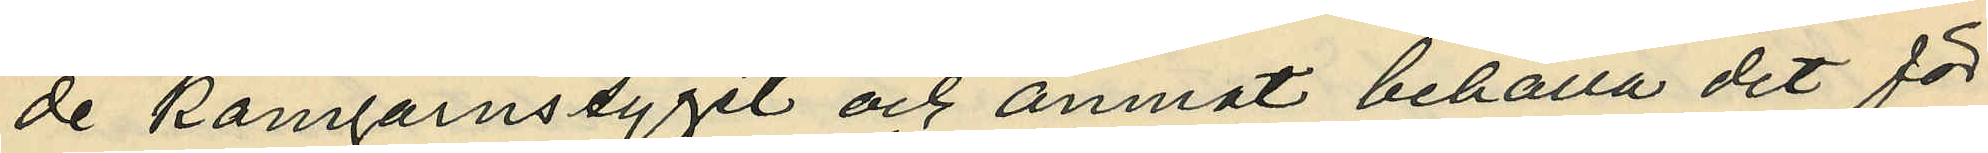de kamgarnstyget och ämnat behålla det för
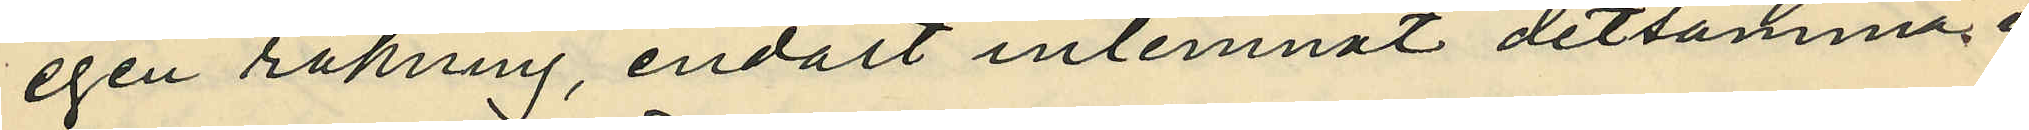egen räkning, endast inlemnat detsamma i
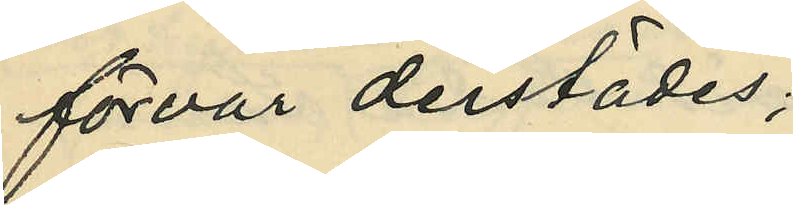förvar derstädes;
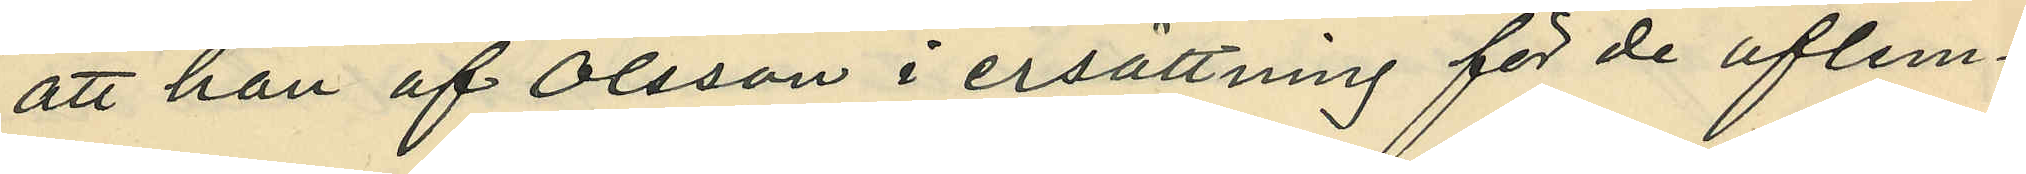att han af Olsson i ersättning för de aflem¬
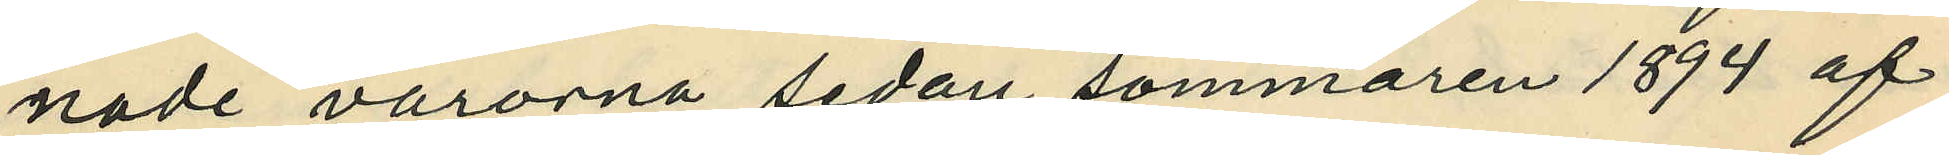nade varorna sedan sommaren 1894 af
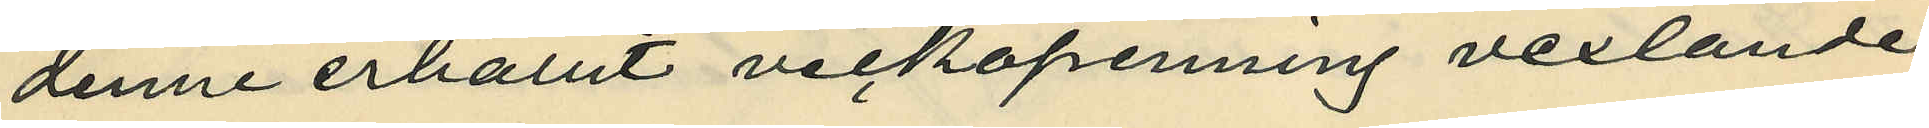denne erhållit veckopenning vexlande
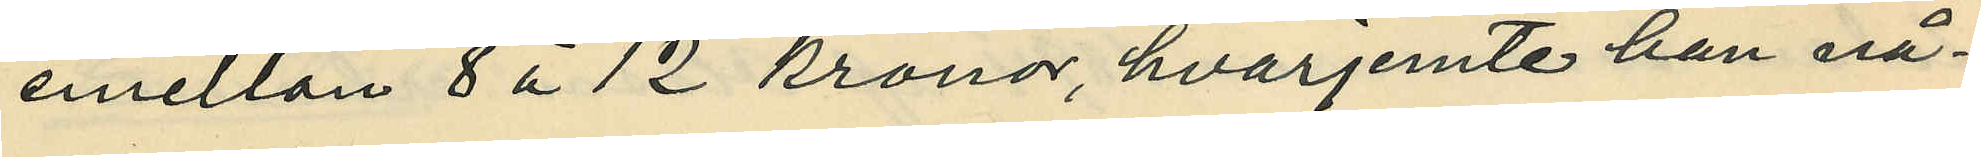emellan 8 à 12 kronor, hvarjemte han nå¬
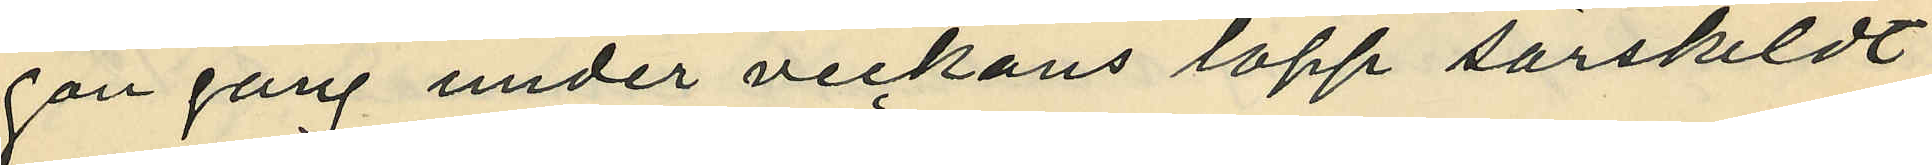gon gång under veckans lopp särskildt
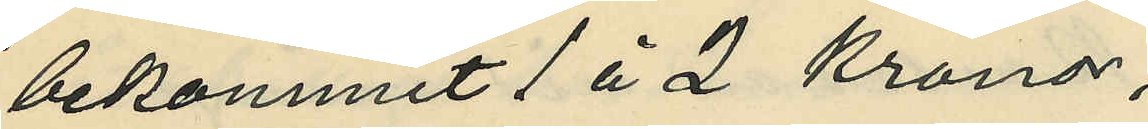bekommit 1 å 2 Kronor,
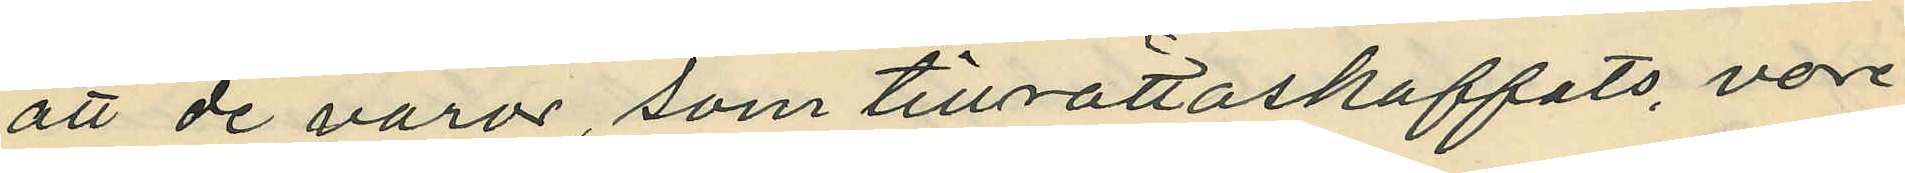att de varor, som tillrättaskaffats, vore
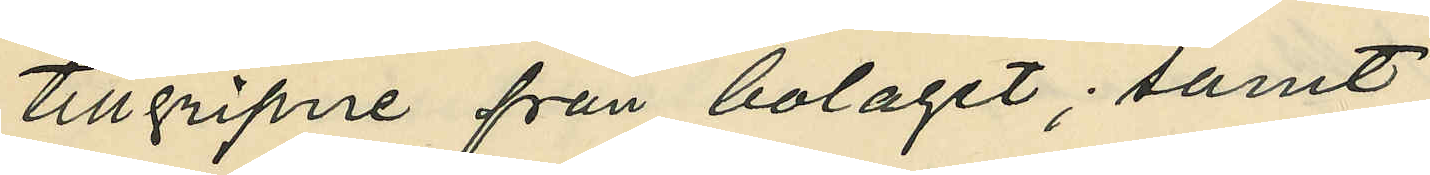tillgripne från bolaget; samt
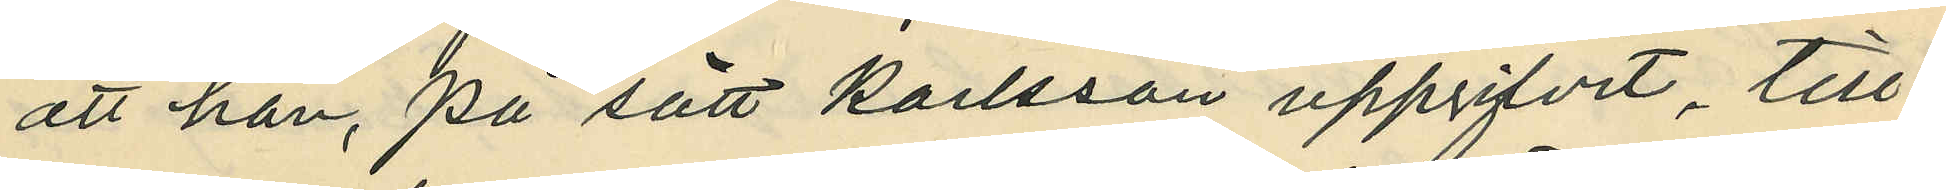att han, på sätt Karlsson uppgifvit, till¬
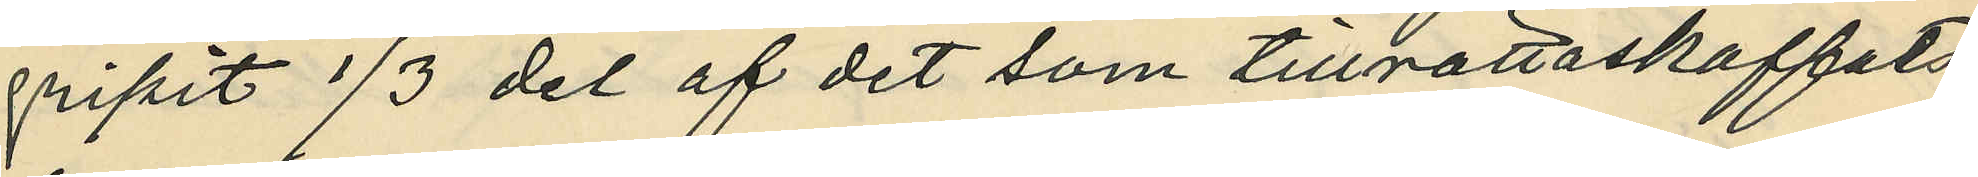gripit 1/3 del af det som tillrättaskaffats
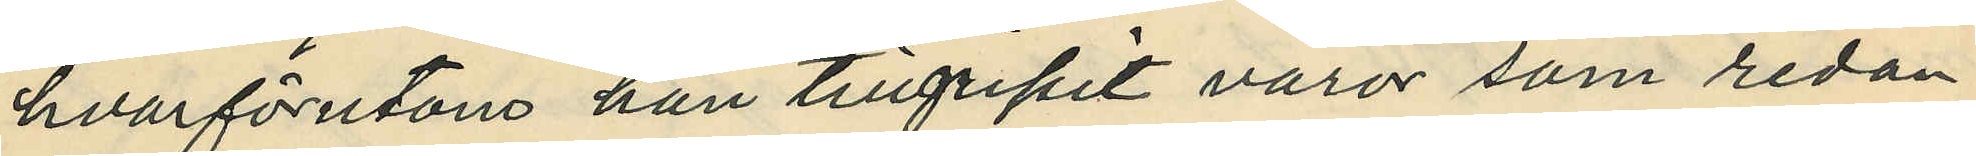hvarförutom han tillgripit varor som redan
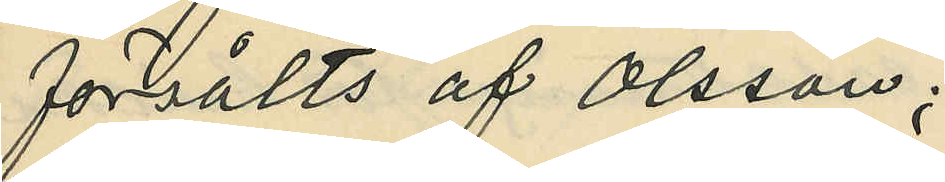försålts af Olsson;
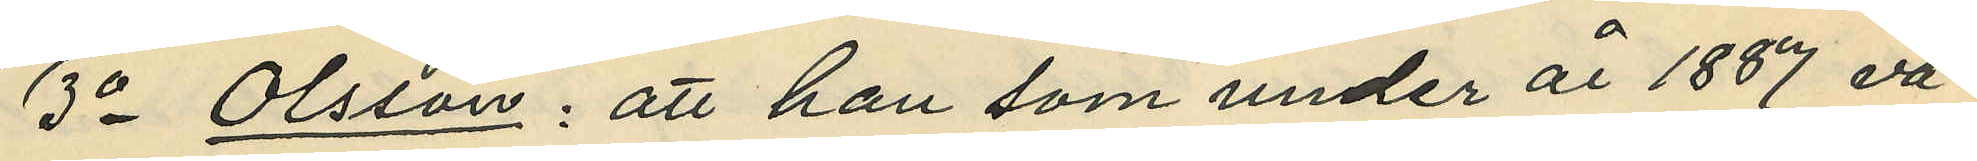3o Olsson: att han som under år 1887 va¬
